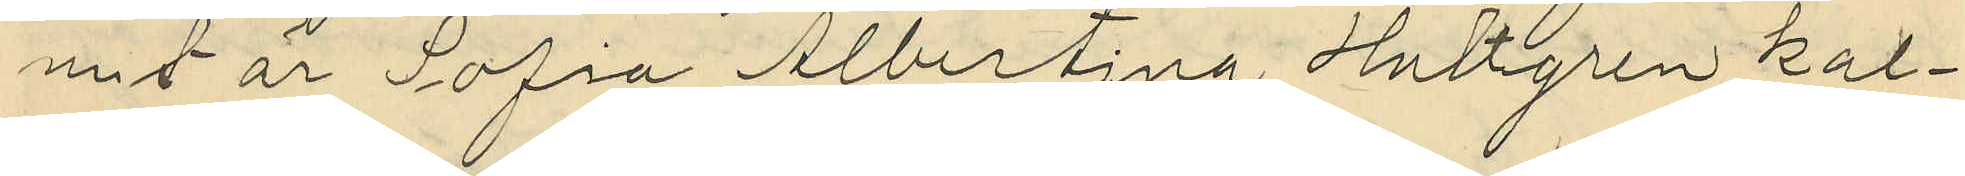mit är Sofia Albertina Hultgren kal¬
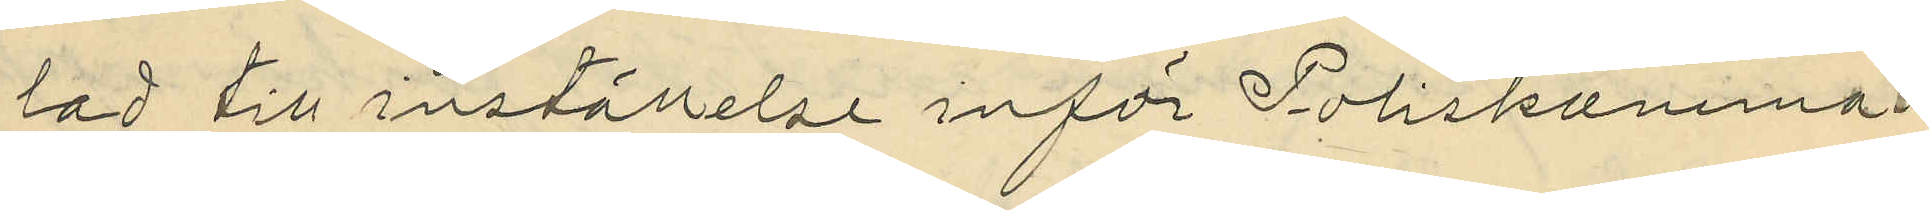lad till inställelse inför Poliskamma¬
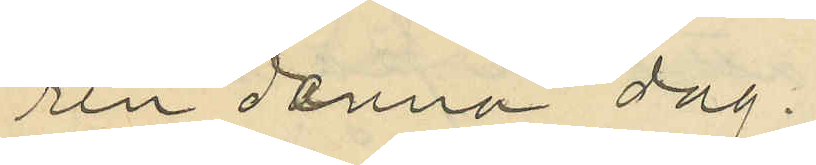ren denna dag.
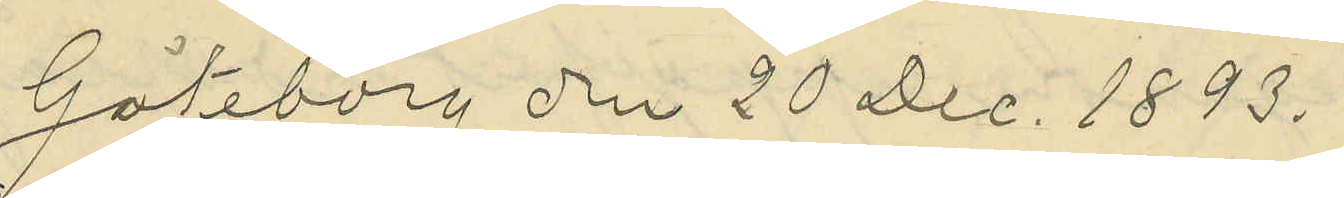Göteborg den 20 Dec. 1893.
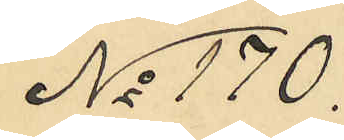No 170.
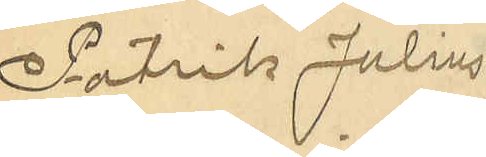Patrik Julius
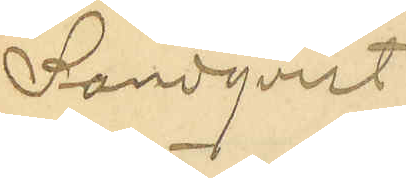Landqvist
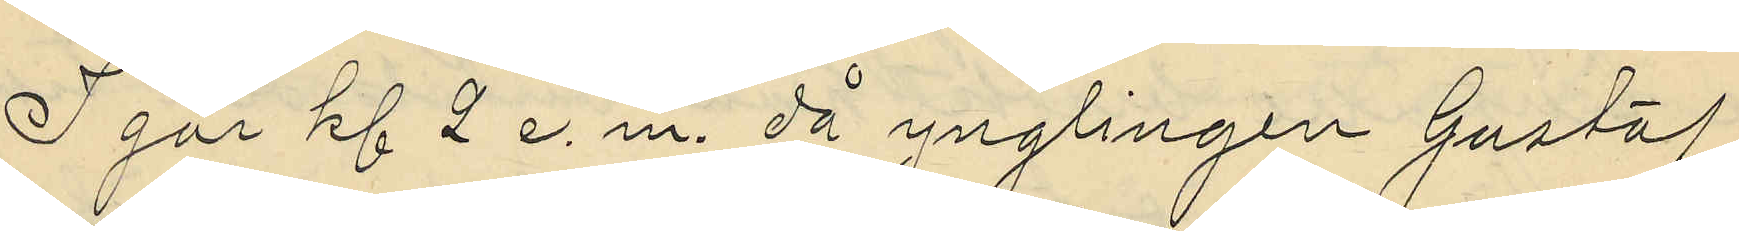Igår kl 2 e.m. då ynglingen Gustaf
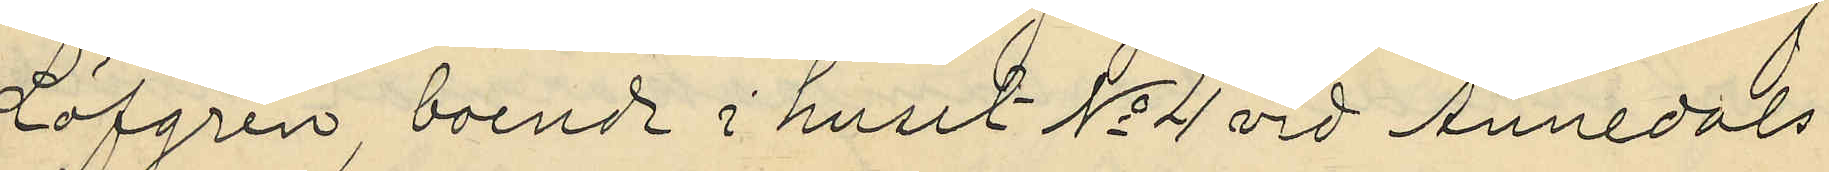Löfgren, boende i huset No 4 vid Annedals
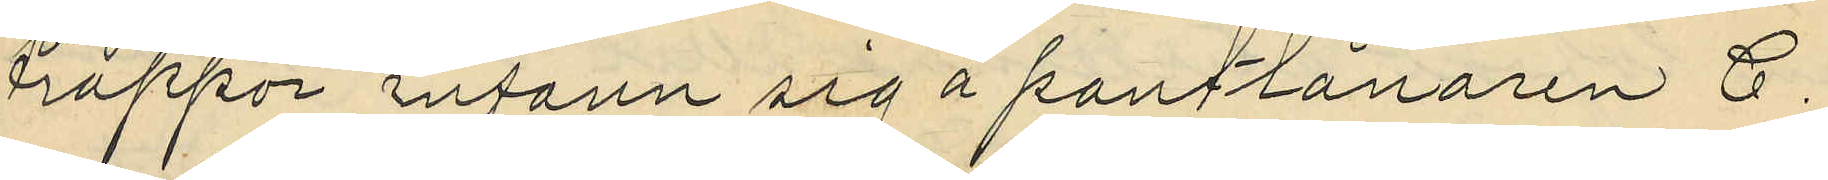trappor infann sig å pantlånaren C.
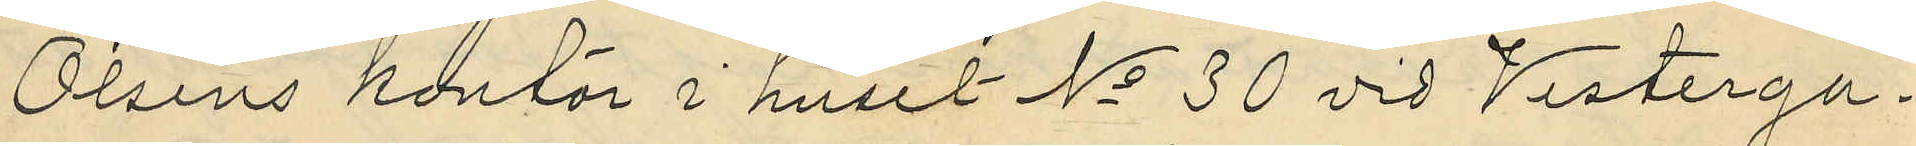Olséns kontor i huset No 30 vid Vesterga¬
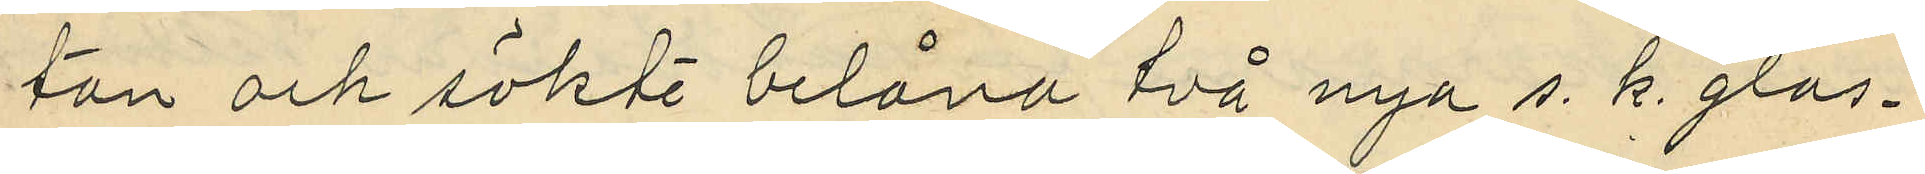ton och sökte belåna två nya s. k. glas¬
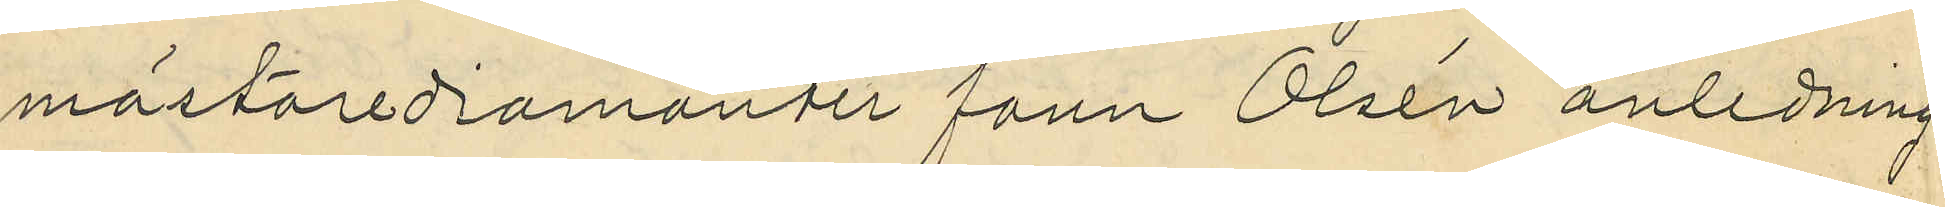mästarediamanter fann Olsén anledning
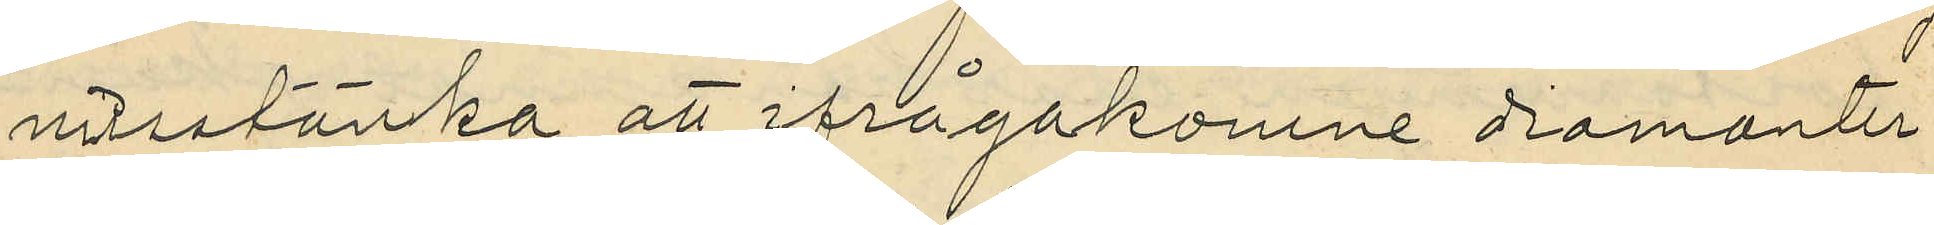misstänka att ifrågakomne diamanter
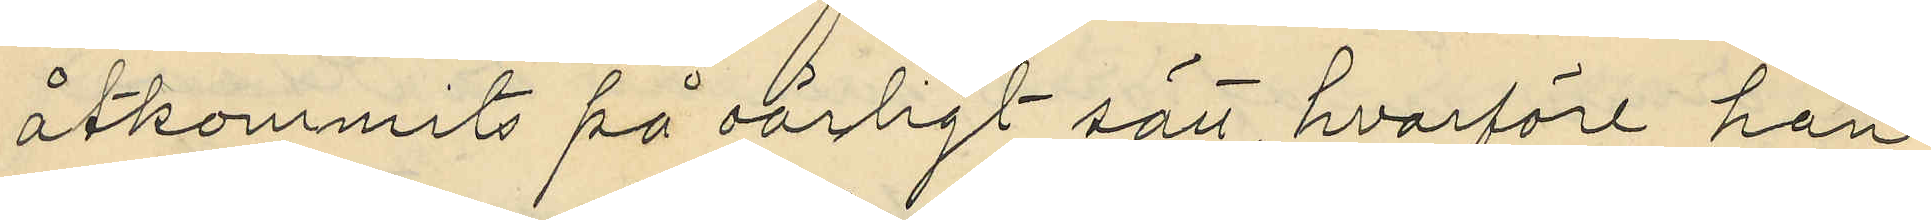åtkommits på oärligt sätt hvarföre han
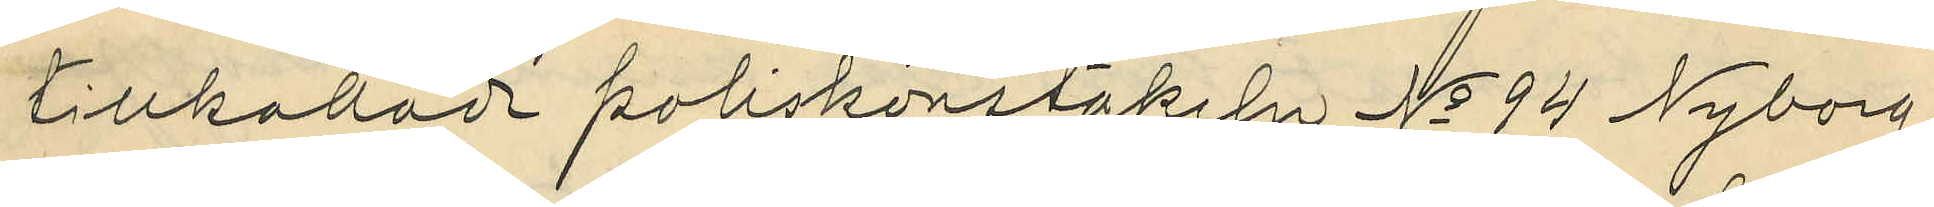tillkallade poliskonstapeln No 94 Nyborg,
